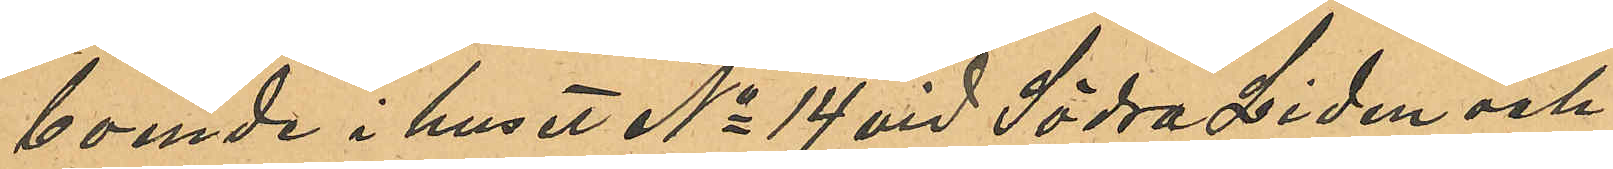boende i huset No 14 vid Södra Liden och
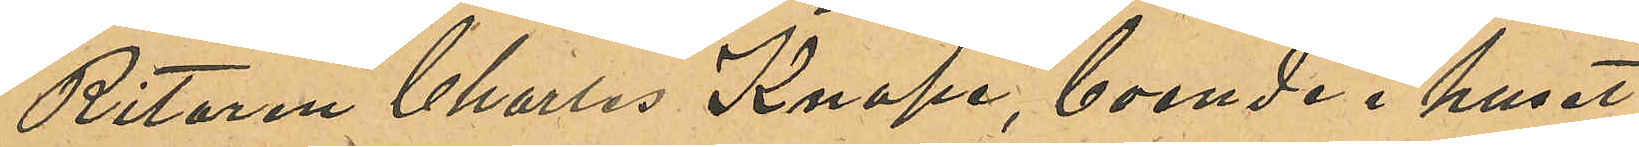Ritaren Charles Knape, boende i huset
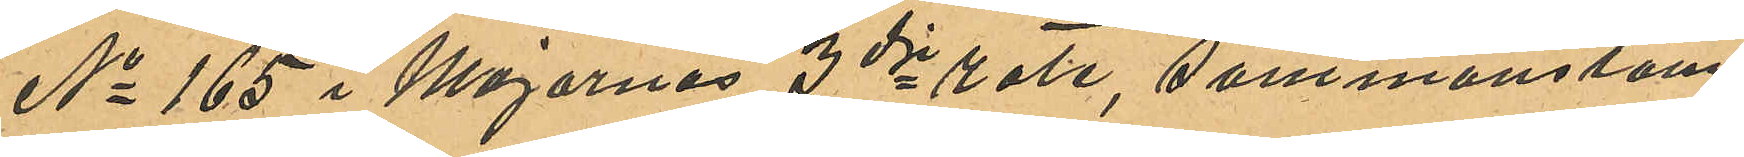No 165 i Majornas 3dje rote, sammanstäm¬
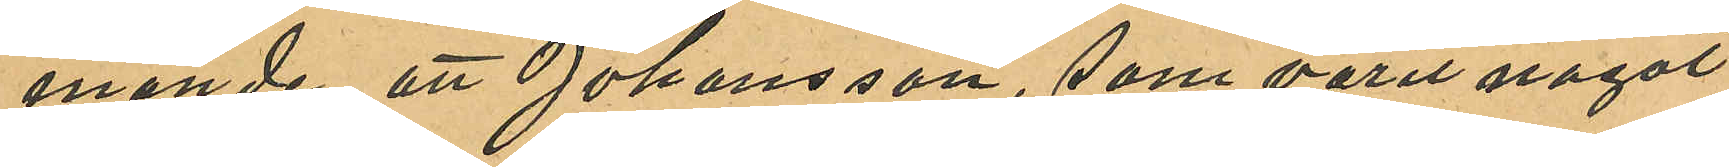mande att Johansson, som varit något
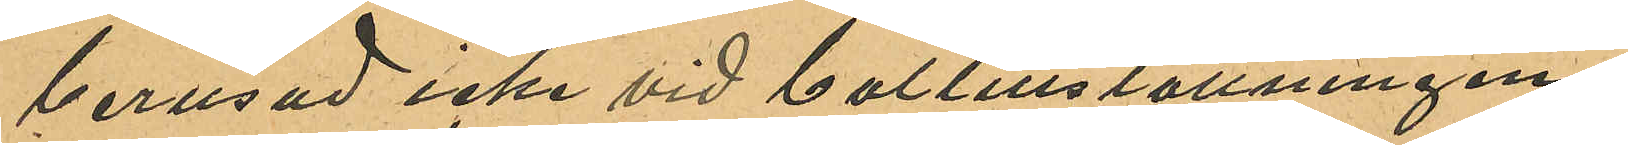berusad icke vid baltillställningen
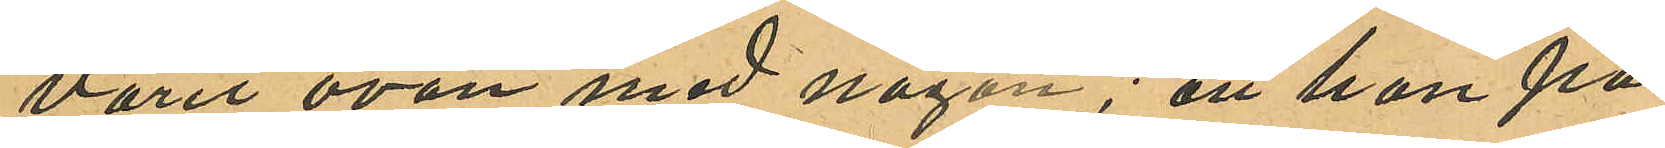varit ovän med någon; att han på
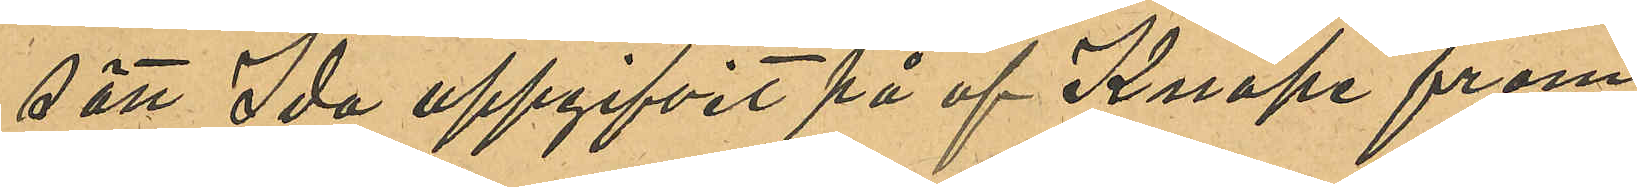sätt Ida uppgifvit på af Knape fram
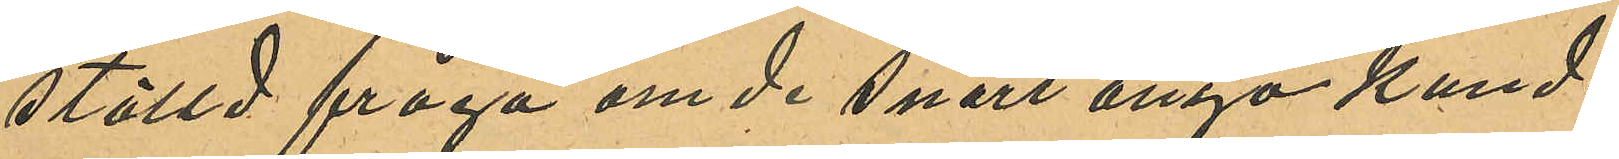ställd fråga om de snart ånyo kunde
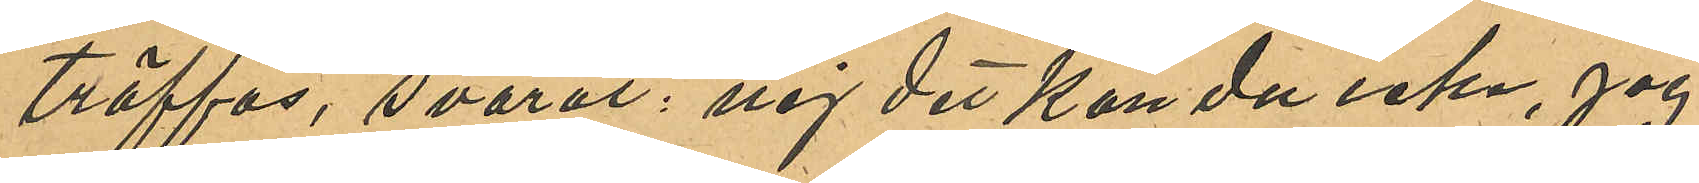träffas, svarat: "nej det kan du icke, jag
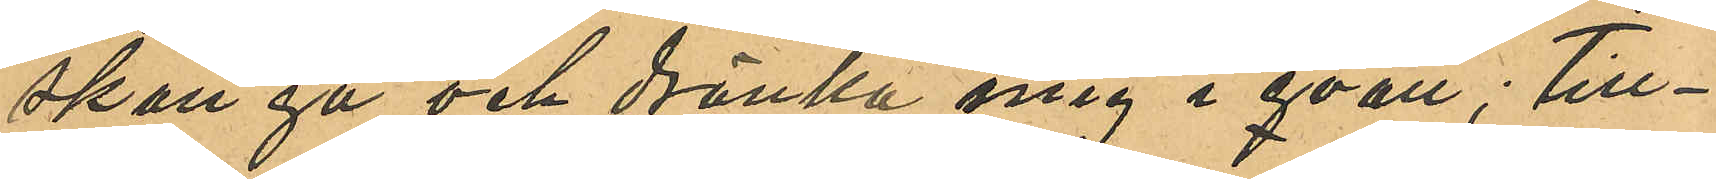skall gå och dränka mig i qväll"; till¬
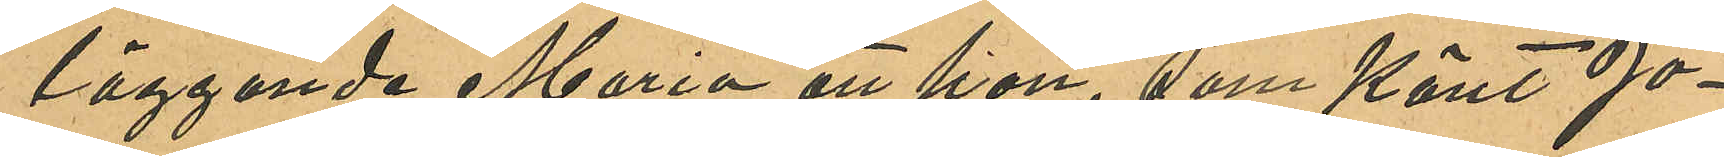läggande Maria att hon, som känt Jo¬
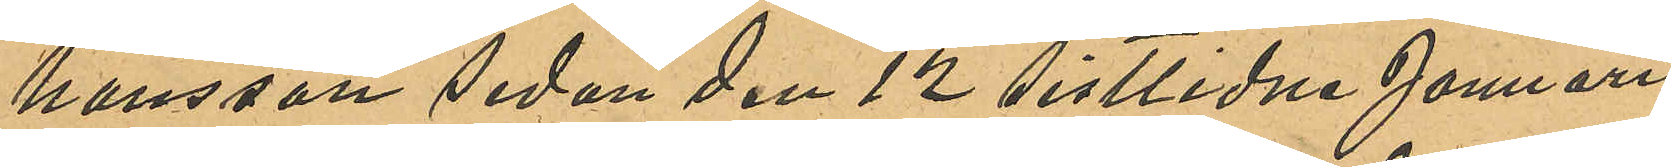hansson sedan den 12 sistlidne Januari,
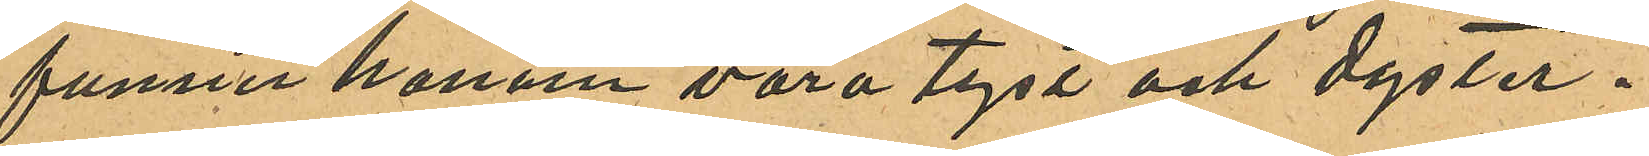funnet honom vara tyst och dyster.
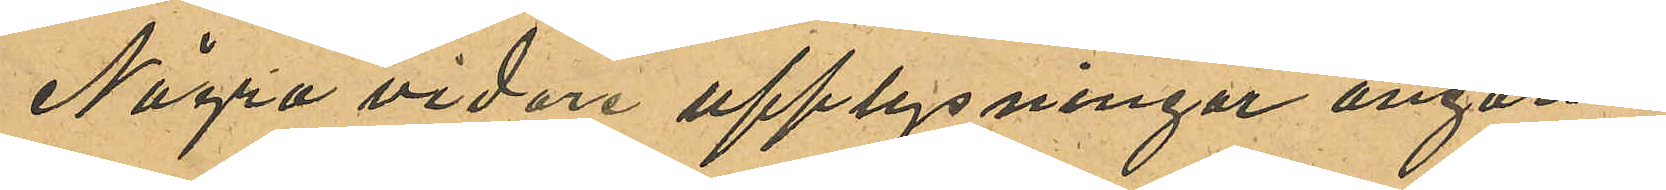Några vidare upplysningar angåen¬
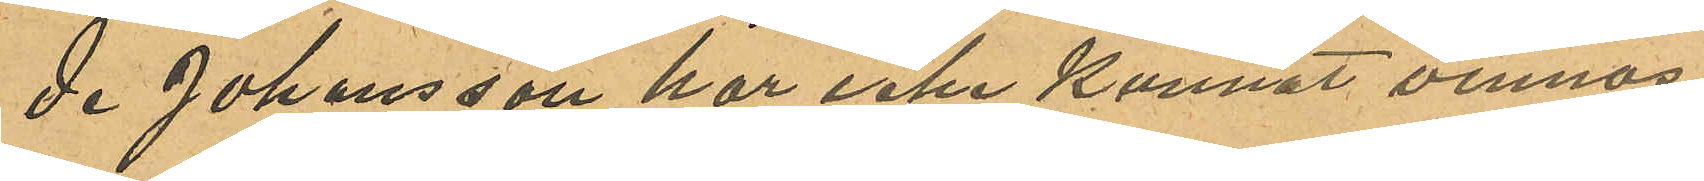de Johansson har icke kunnat vinnas.
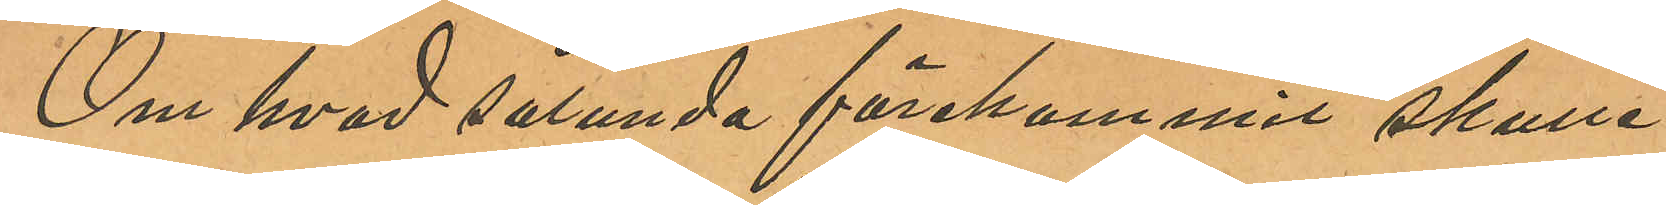Om hvad sålunda förekommit skulle
